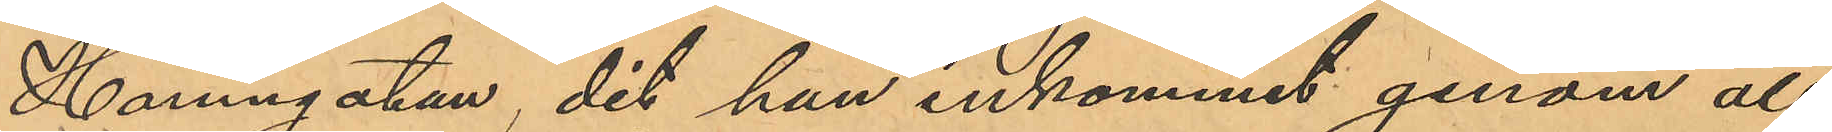Hamngatan, dit han inkommit genom att
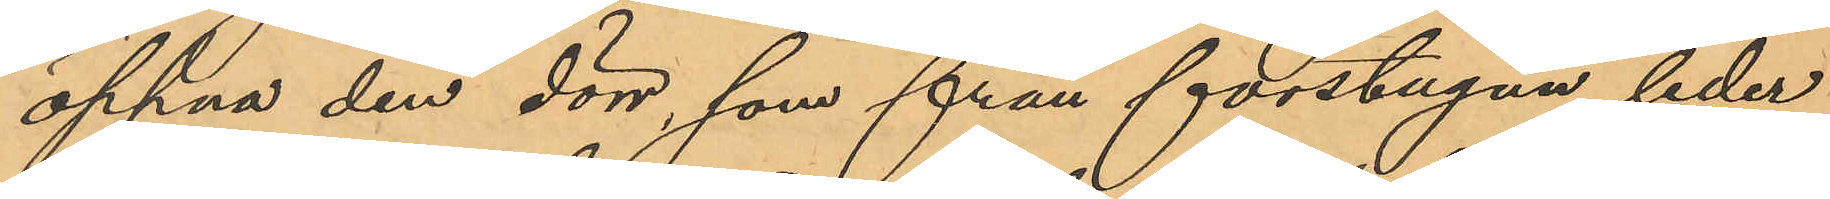öppna den dörr, som från förstugan leder
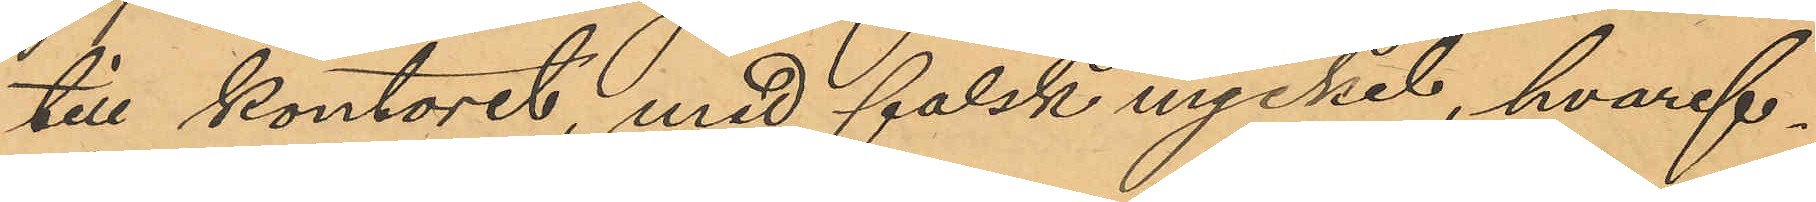till kontoret, med falsk nyckel, hvaref¬
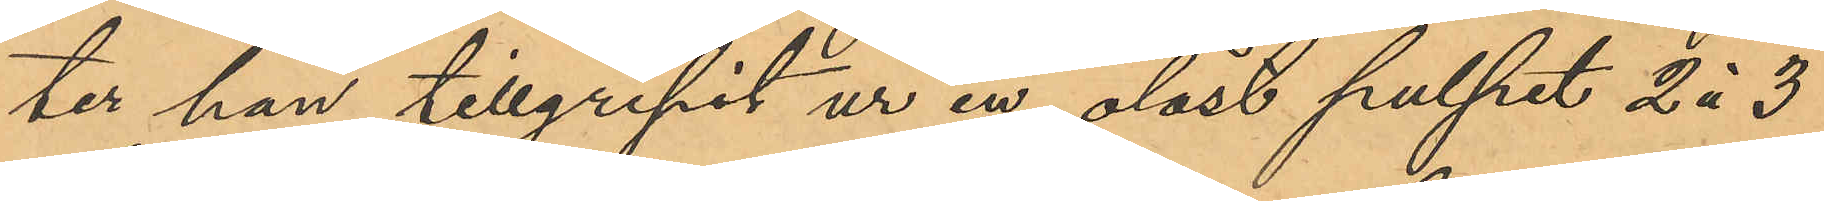ter han tillgripit ur en olåst pulpet 2 á 3
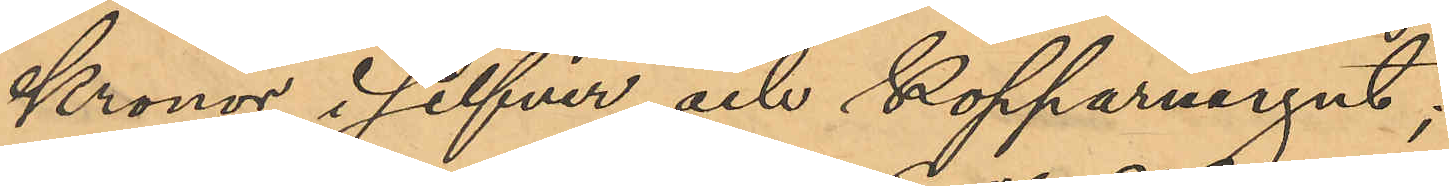Kronor i silfver och kopparmynt;
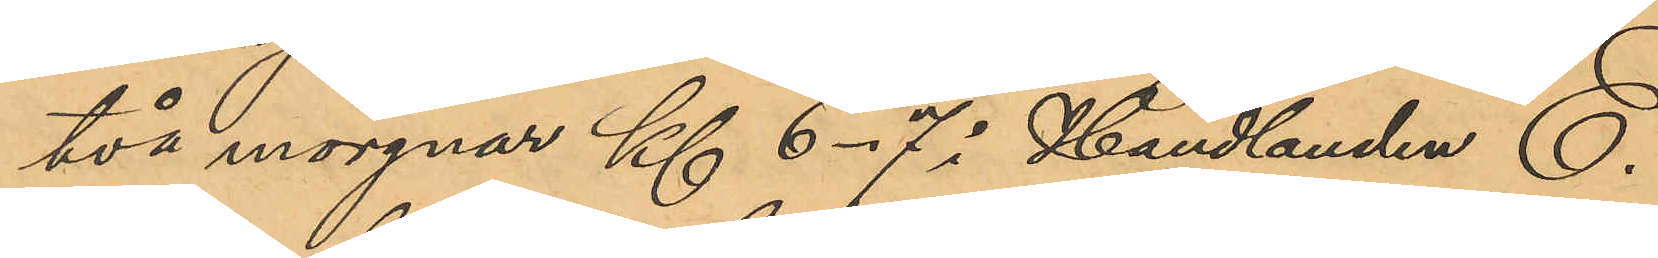två morgnar Kl. 6-7 i Handlanden E.
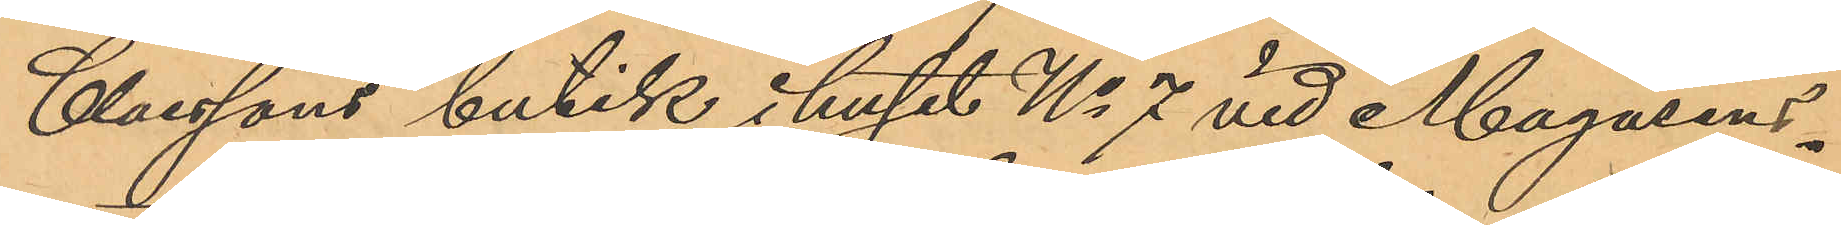Claessons butik i huset No 7 vid Magasins¬
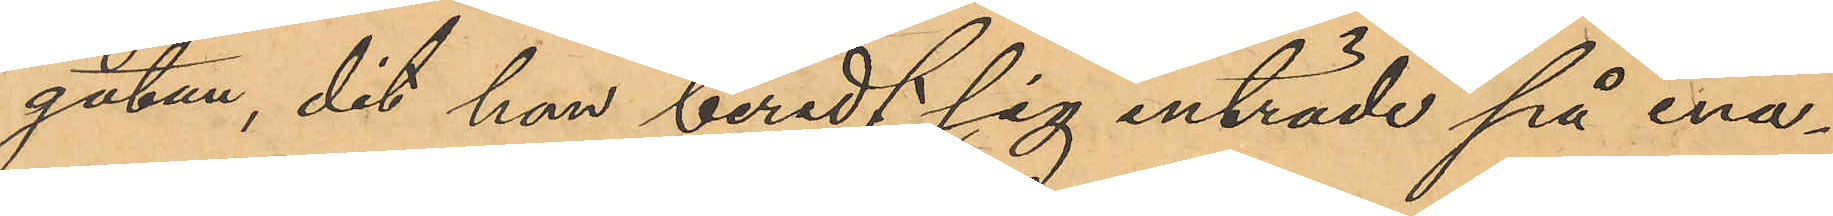gatan, dit han beredt sig inträde på ena¬
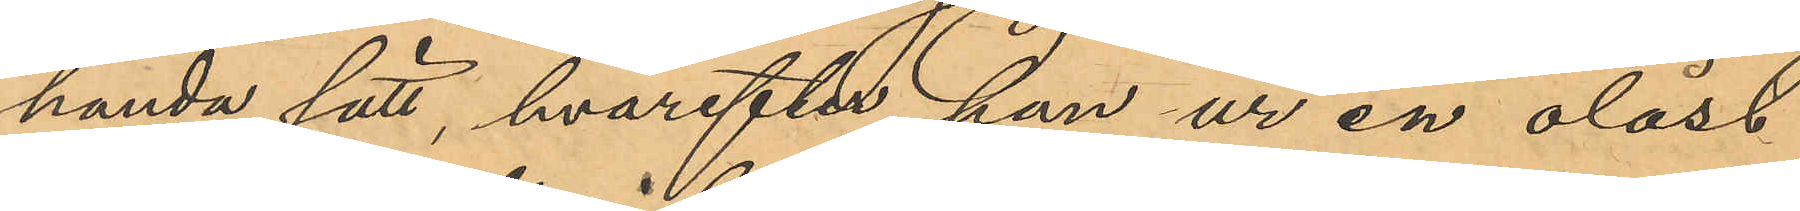handa sätt, hvarefter han ur en olåst
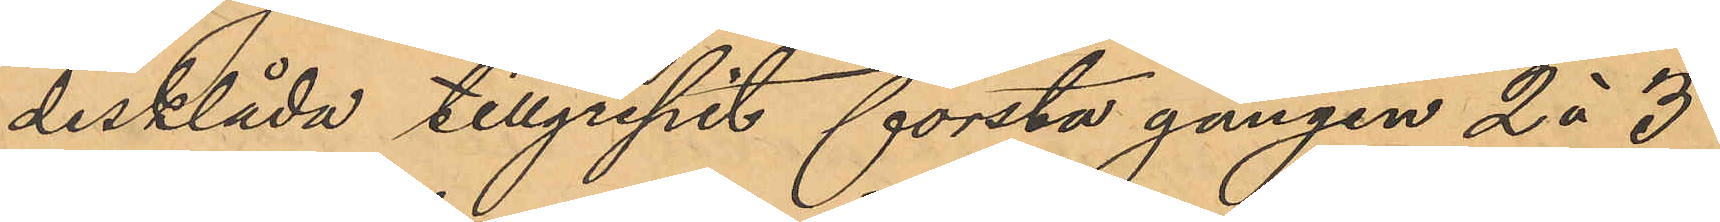disklåda tillgripit första gången 2 à 3
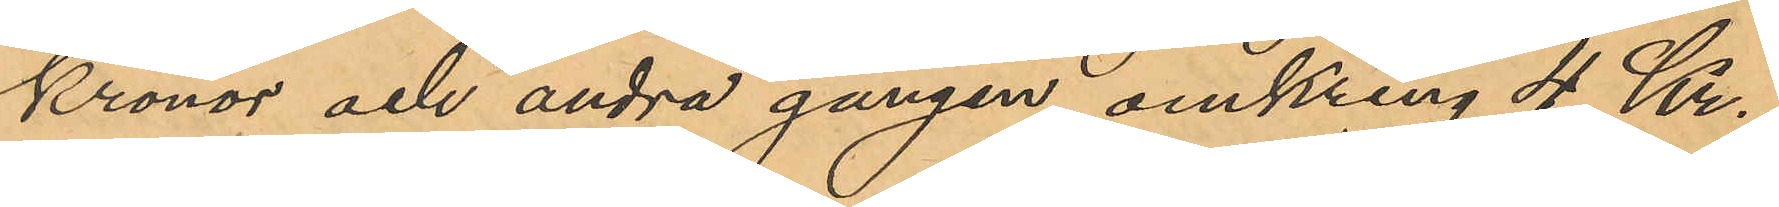Kronor och andra gången omkring 4 Kr.;
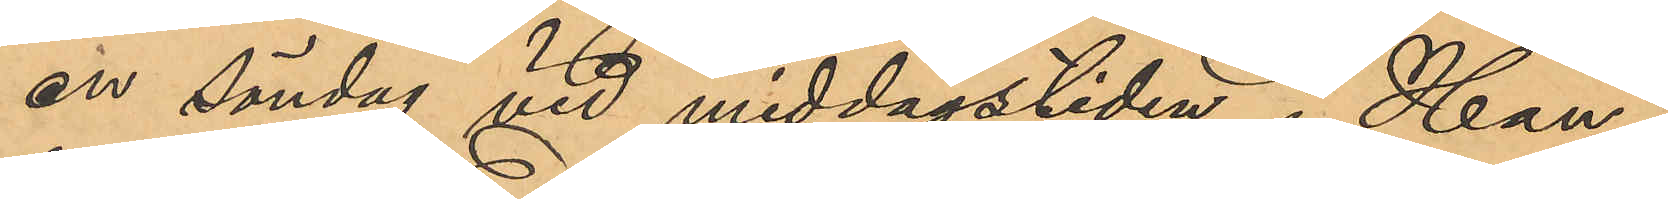en söndag vid middagstiden i Han¬
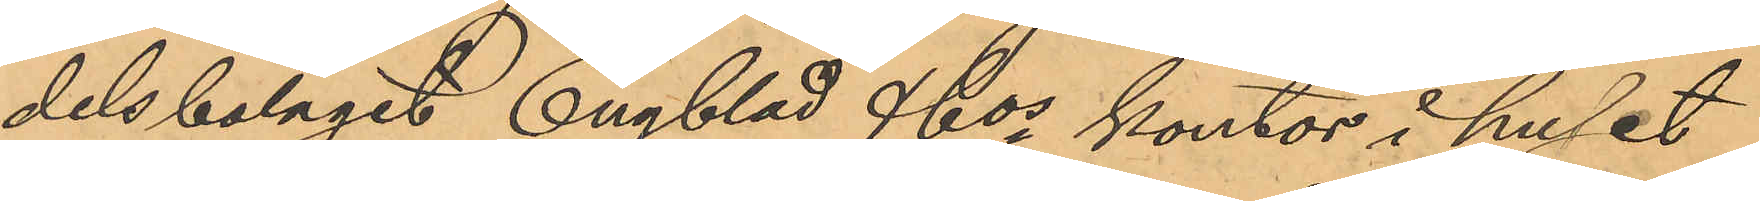delsbolaget Engblad & Cos kontor i huset
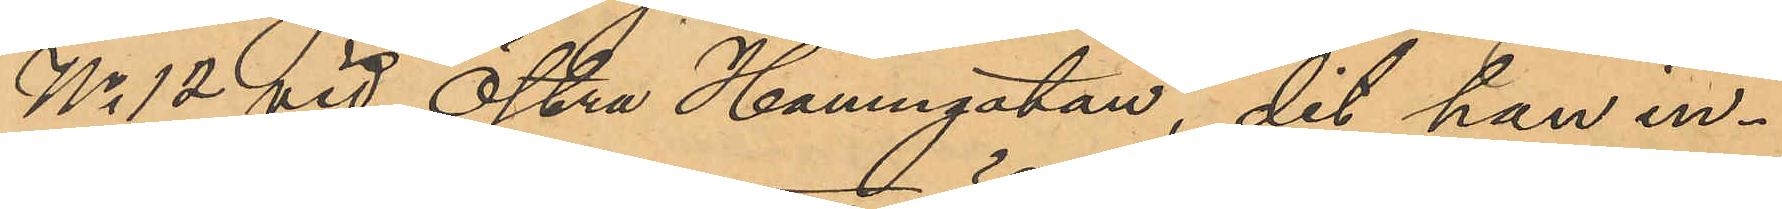No 12 vid Östra Hamngatan, dit han in¬
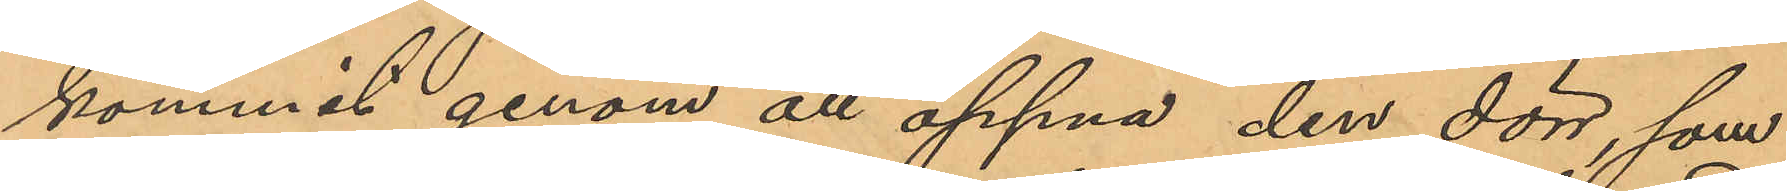kommit genom att öppna den dörr, som
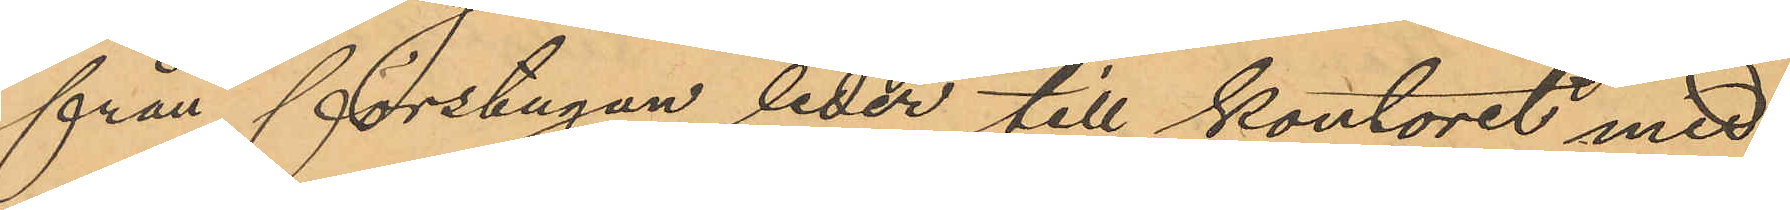från förstugan leder till kontoret med
